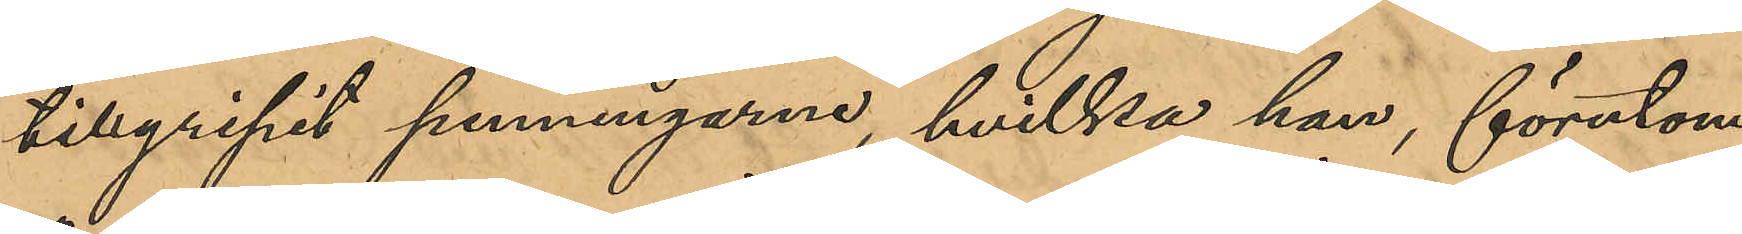tillgripit penningarne, hvilka han, förutom
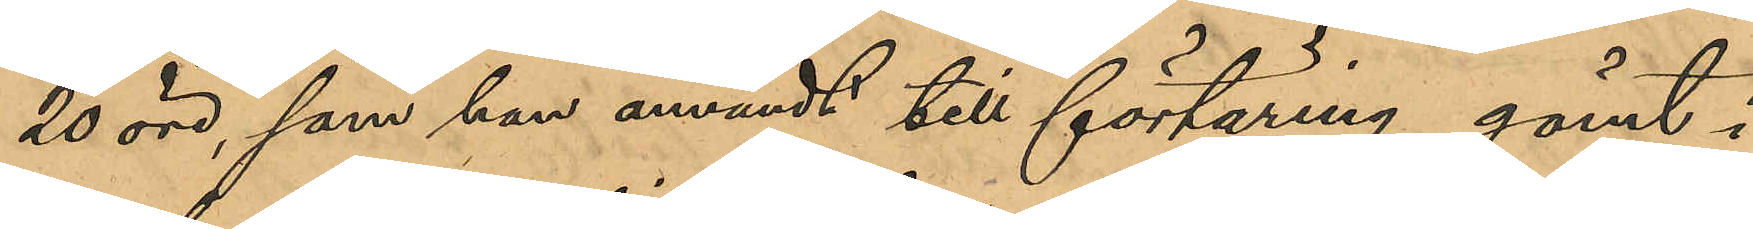20 öre, som han användt till förtäring gömt i 
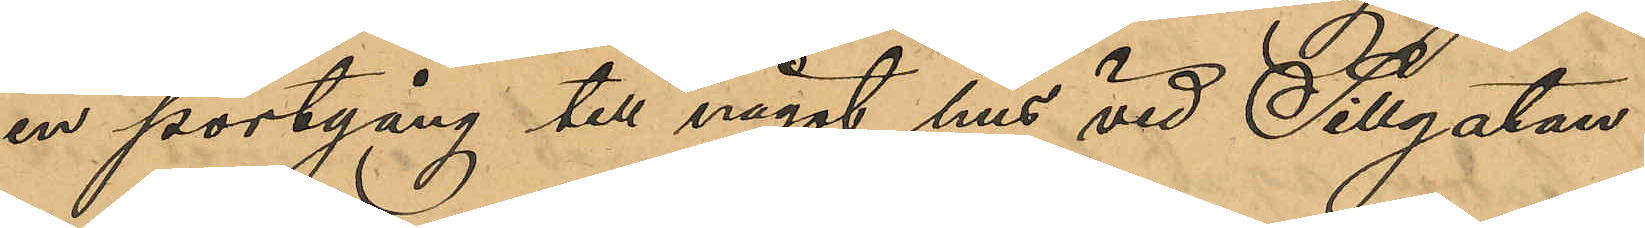en portgång till något hus vid Sillgatan.
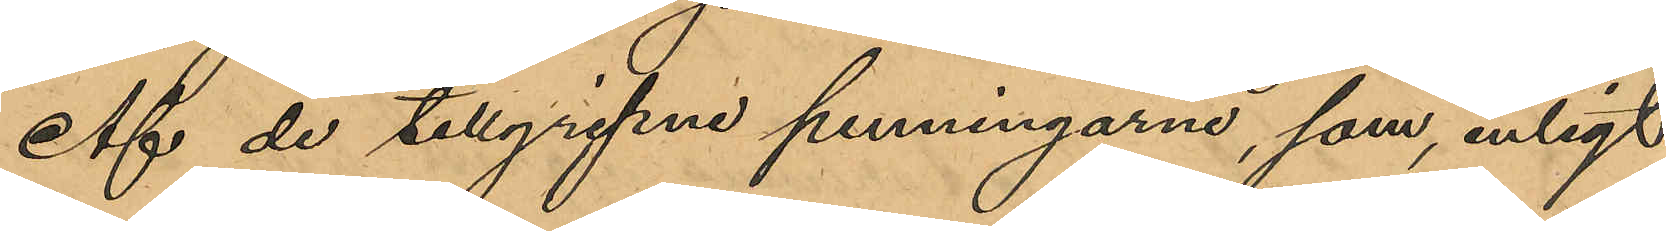Af de tillgripne penningarne, som, enligt
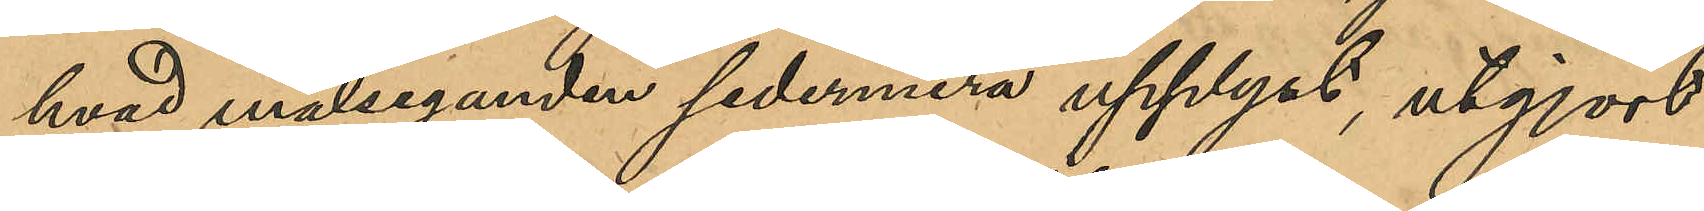hvad målseganden sedermera upplyst, utgjordt
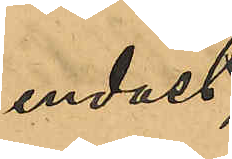endast
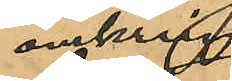omkring
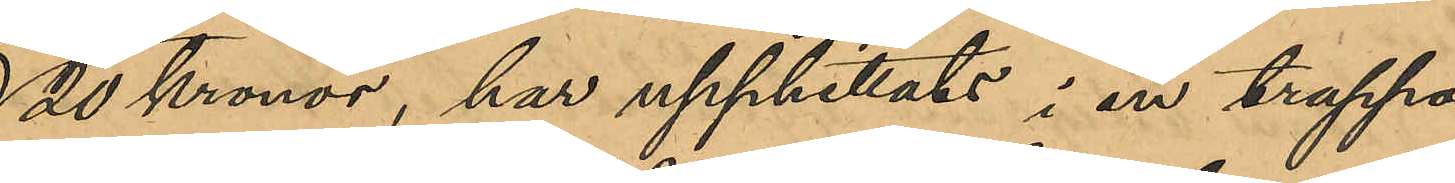20 kronor, har upphittats i en trappa
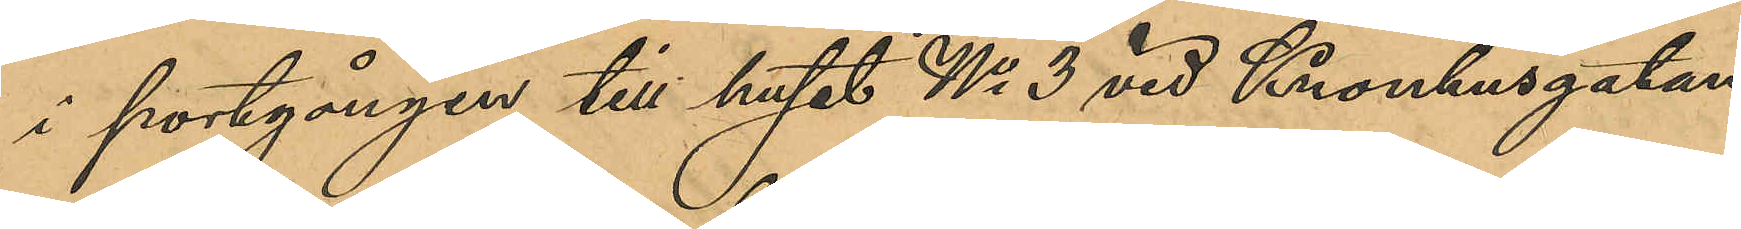i portgången till huset No 3 vid Kronhusgatan
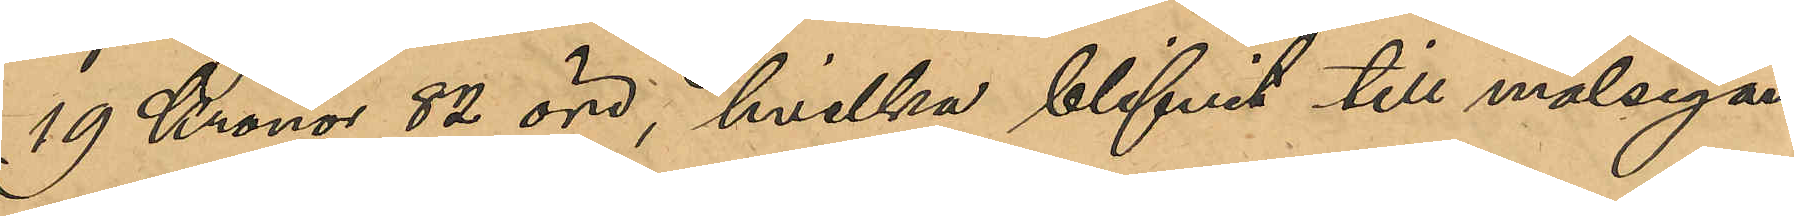19 kronor 82 öre, hvilka blifvit till målsegan¬
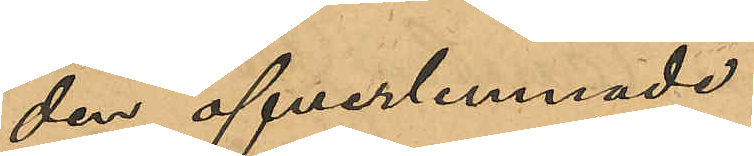den öfverlemnade.
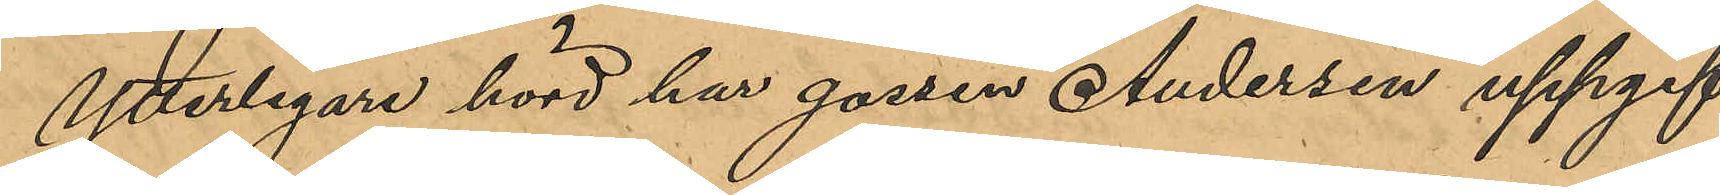Ytterligare hörd har gossen Andersen uppgif¬
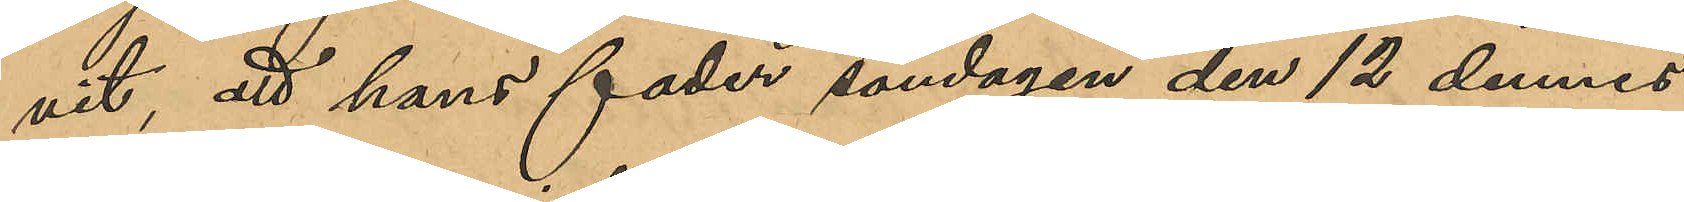vit, att hans fader söndagen den 12 dennes
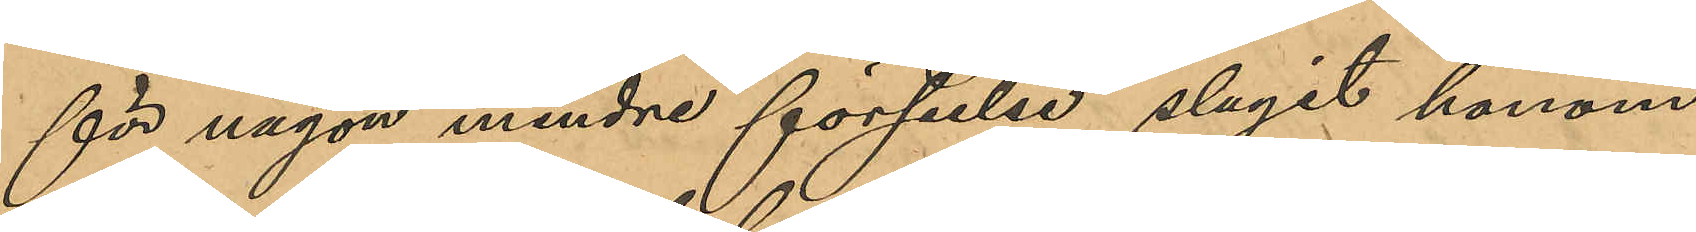för någon mindre förseelse slagit honom
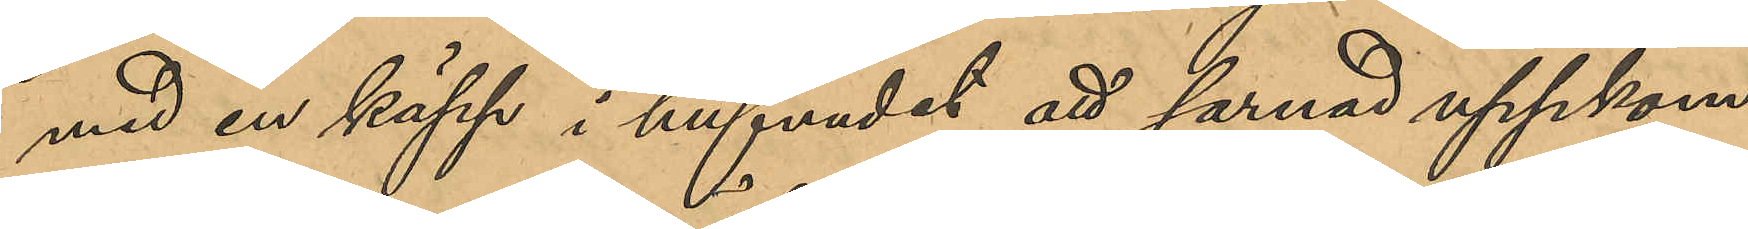med en käpp i hufvudet att sarnad uppkom¬
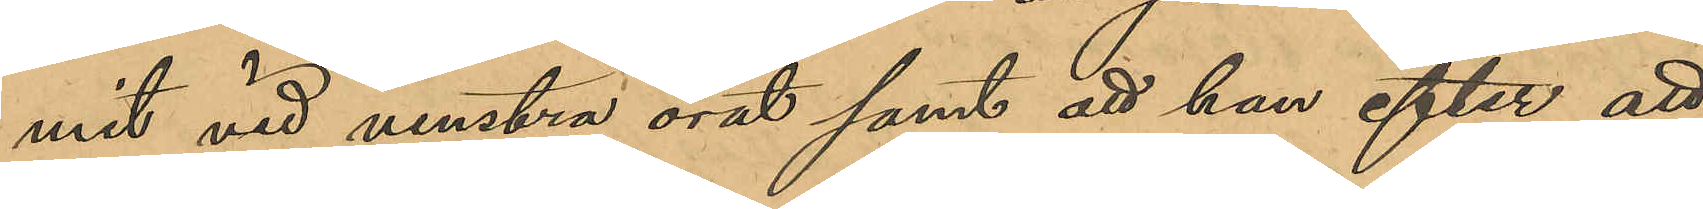mit vid venstra örat samt att han efter att
